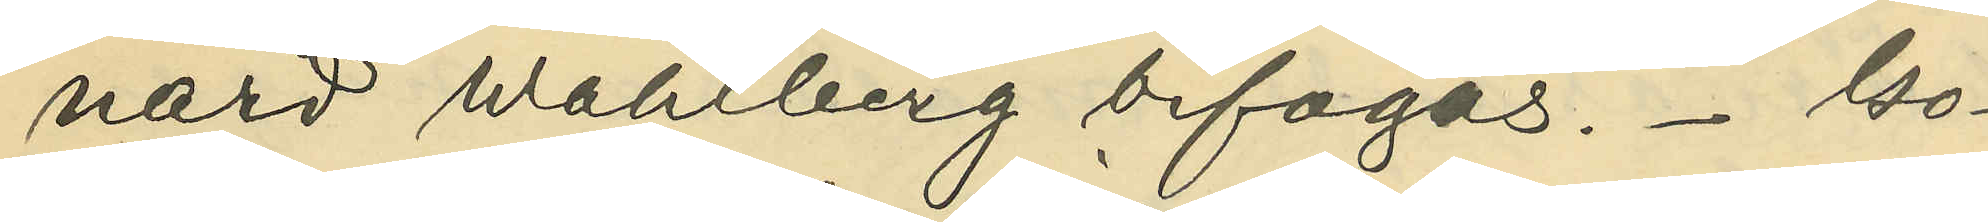nars Wahlberg bifogas. Gö¬
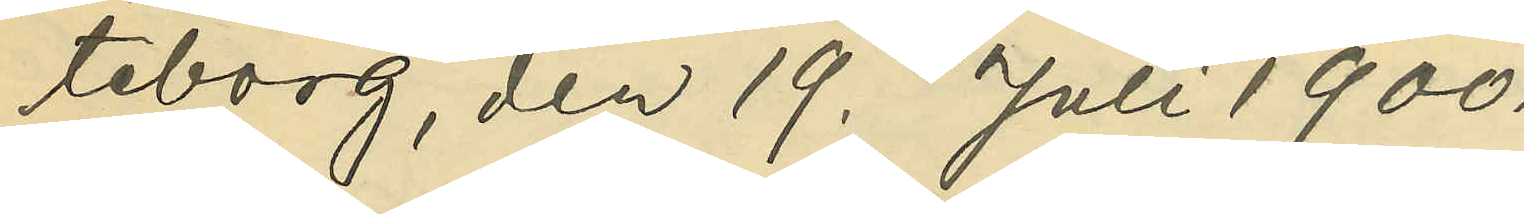teborg, den 19. Juli 1900.
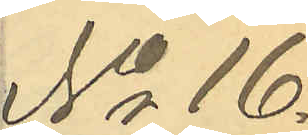No 16.
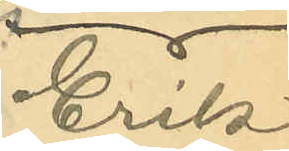Erik
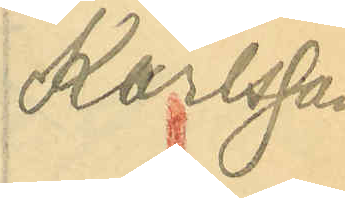Karlsson
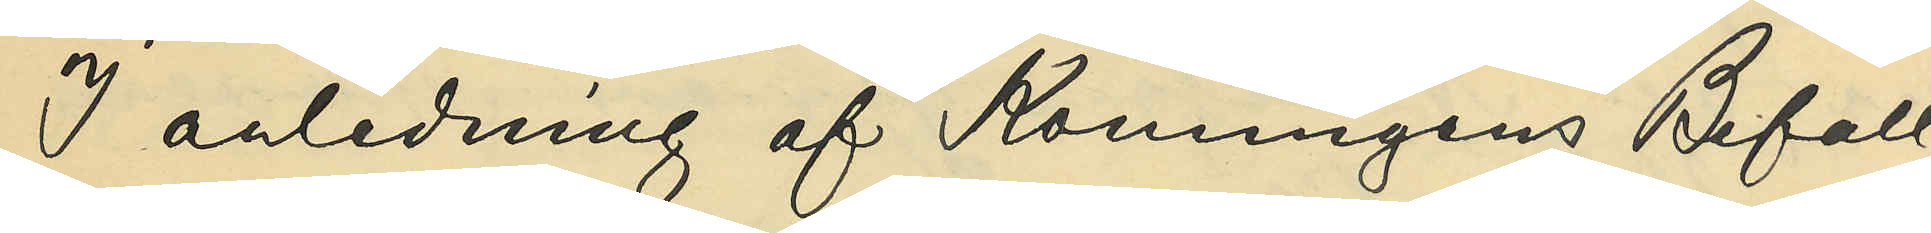I anledning af Konungens Befall¬
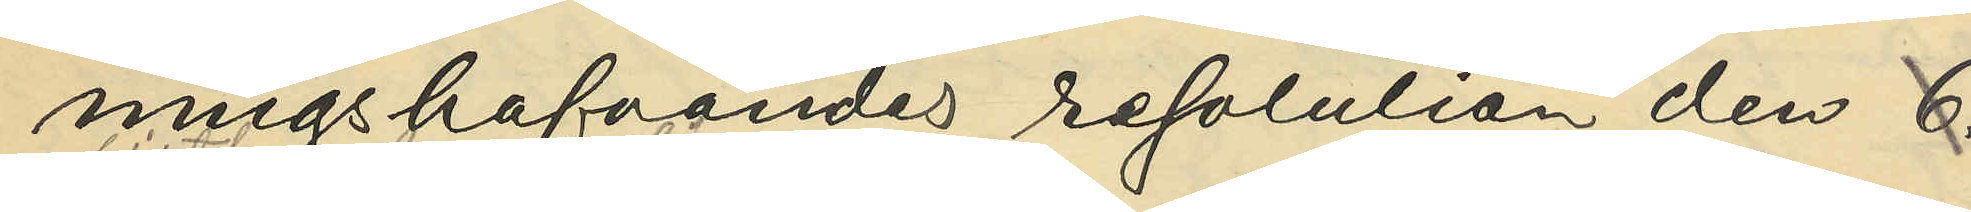ningshafvandes resolution den 6 17
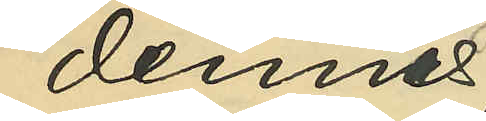dennes
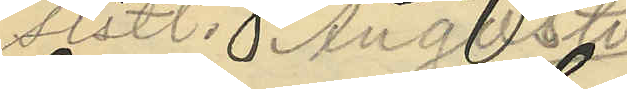sistl. Augusti,
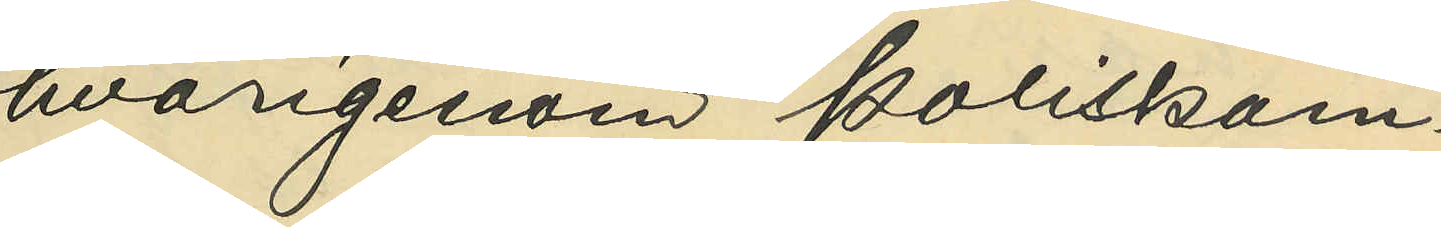hvarigenom Poliskam¬
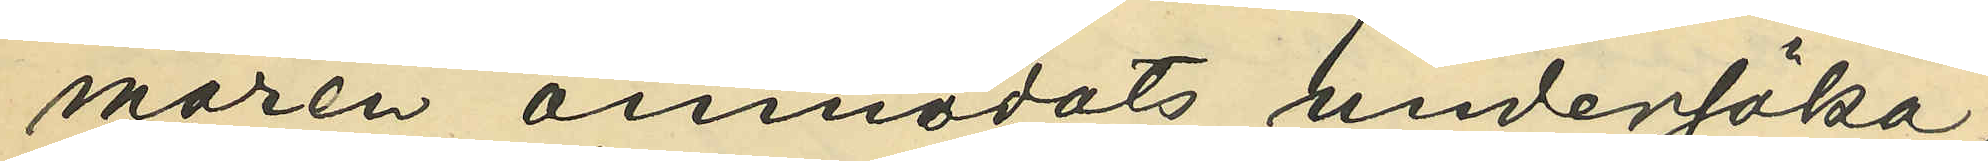maren anmodats undersöka,
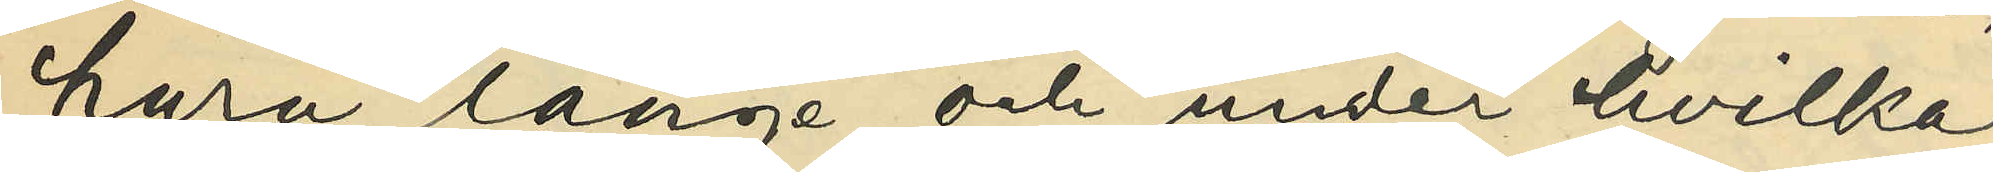huru länge och under hvilka
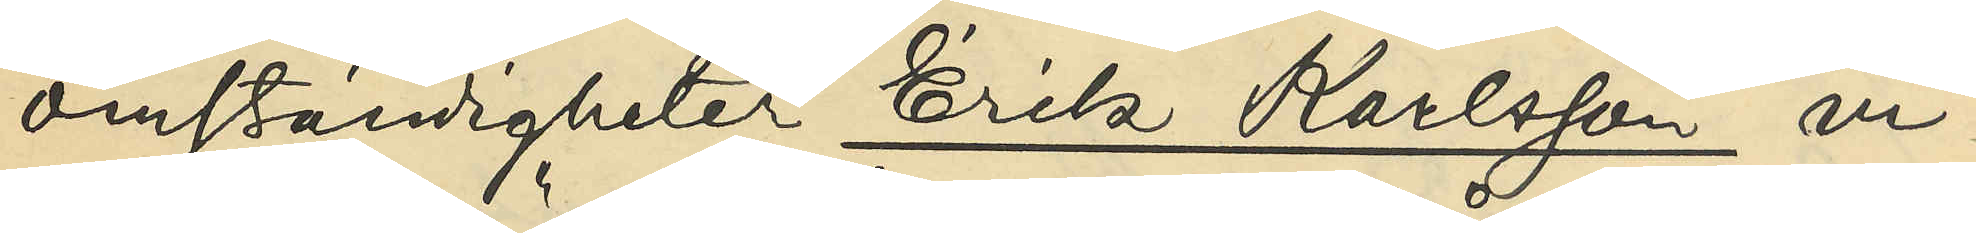omständigheter Erik Karlsson vi¬
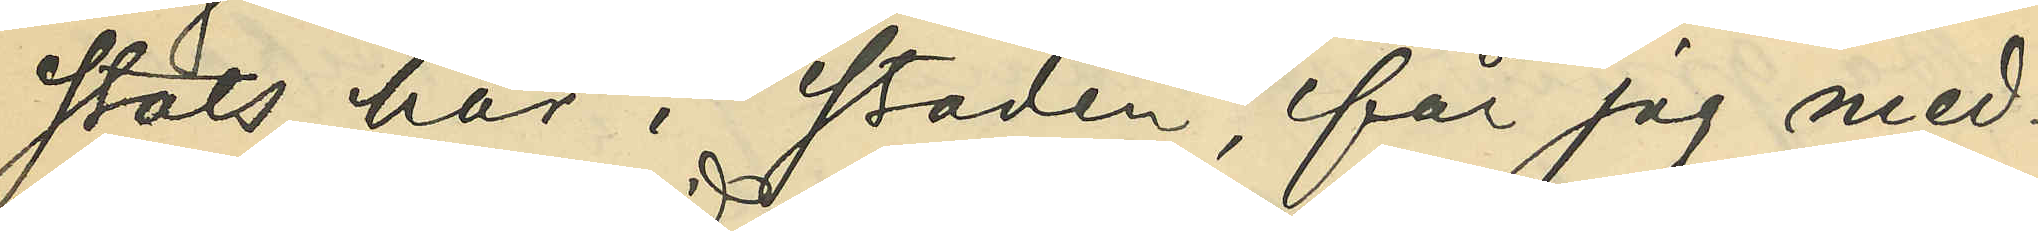stats här i staden, får jag med¬
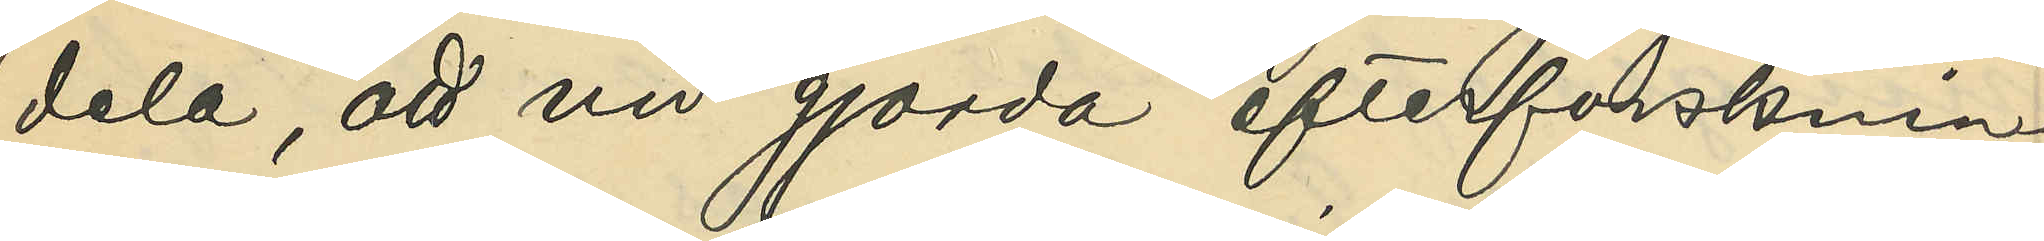dela, att vid gjorda efterforsknin¬
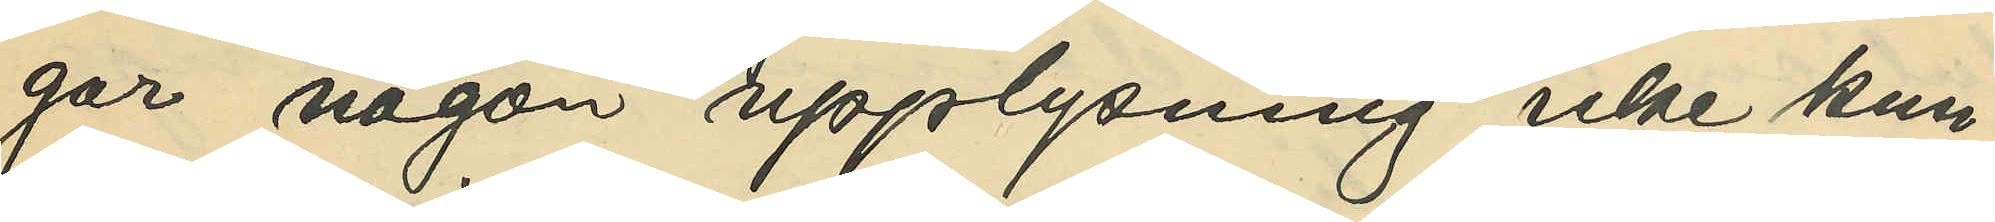gar någon upplysning icke kun¬
